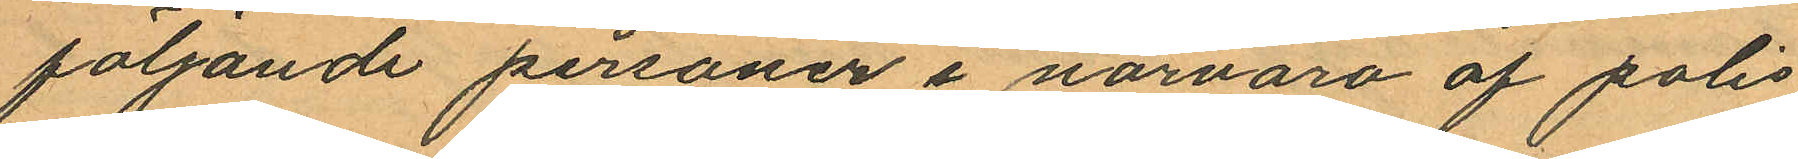följande personer i närvaro af polis
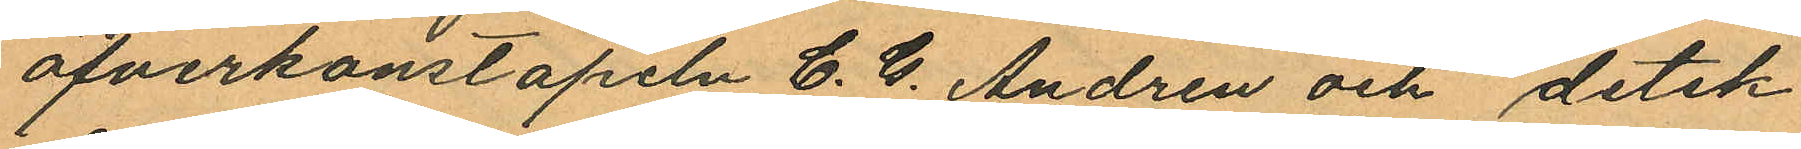öfverkonstapeln C. G. Andren och detek¬
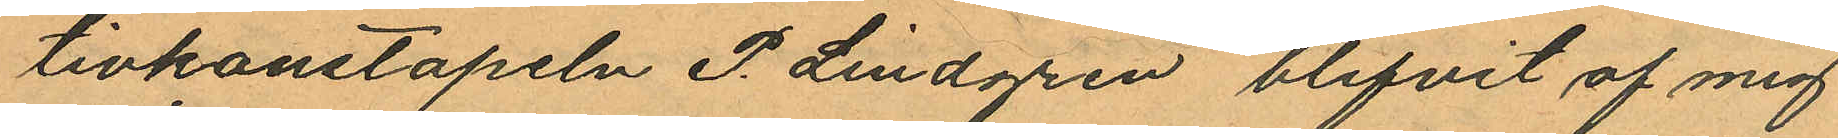tivkonstapeln P. Lindgren blifvit af mig
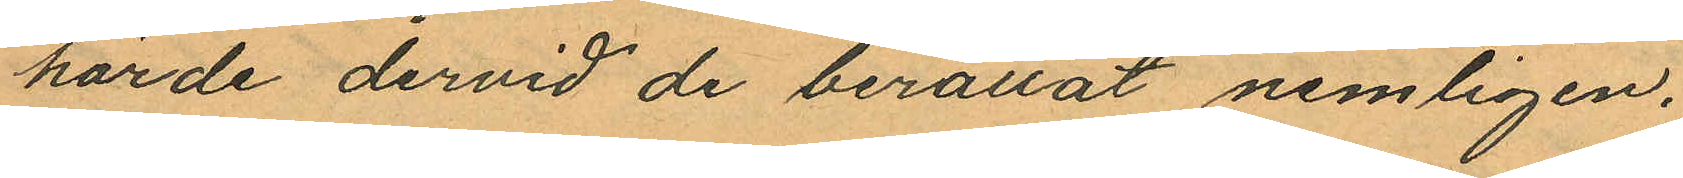hörde dervid de berättat nemligen.
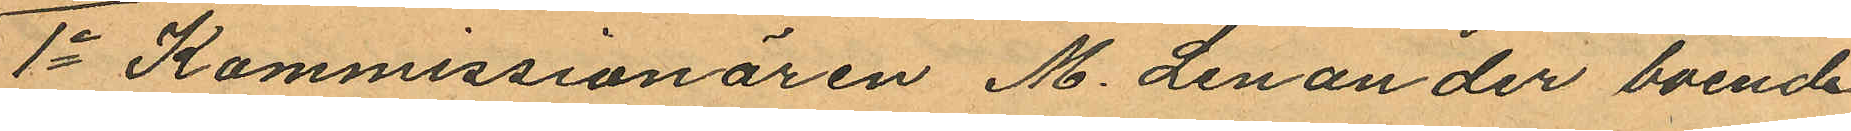1o Kommissionären M. Lenander boende
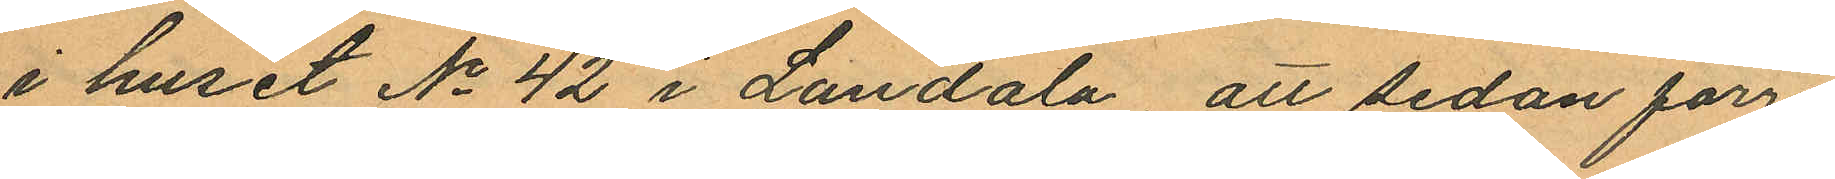i huset No 42 i Landala att sedan förre
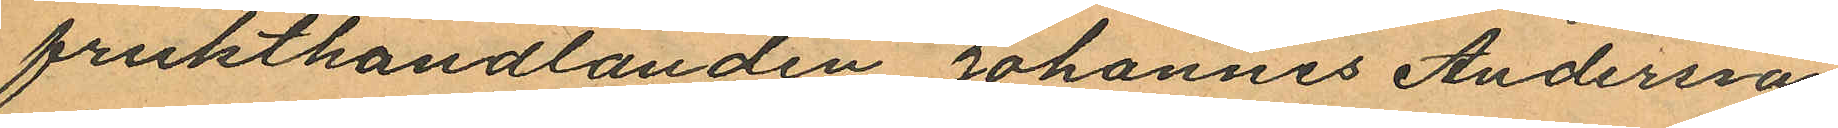frukthandlanden Johannes Andersson
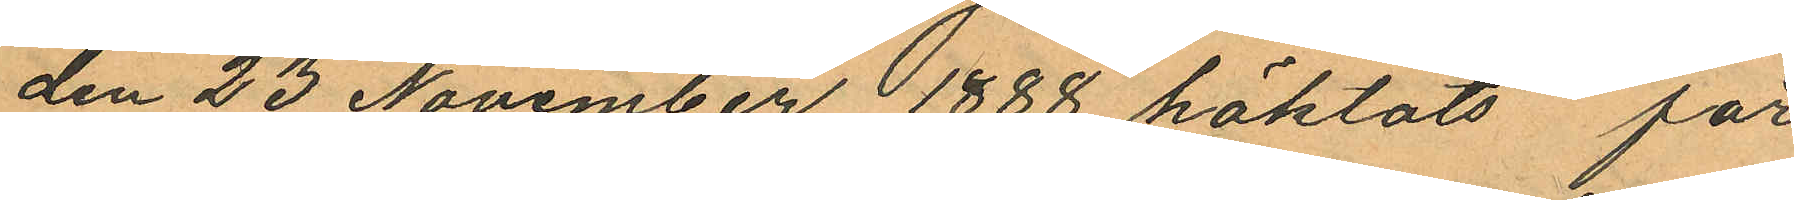den 23 November 1888 häktats för
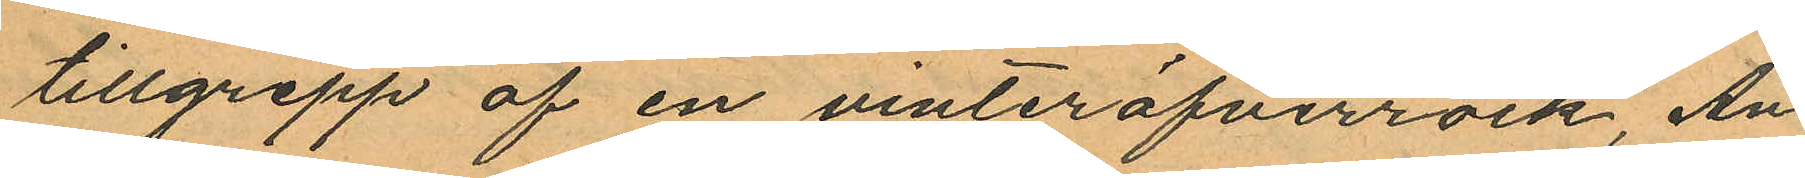tillgrepp af en vinteröfverrock, An¬
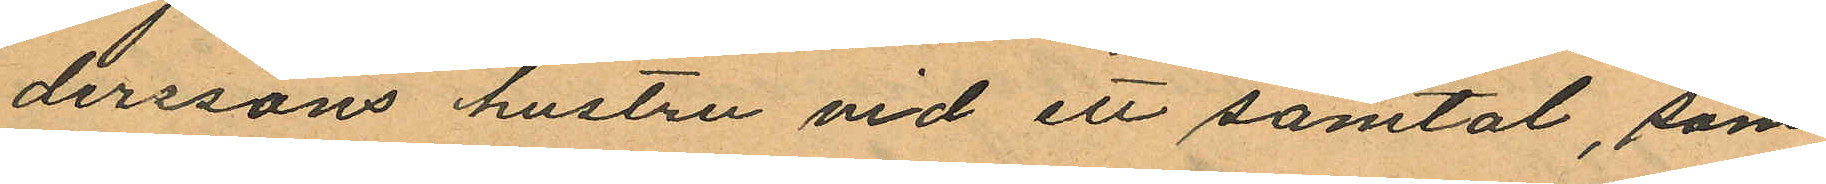derssons hustru vid ett samtal, som
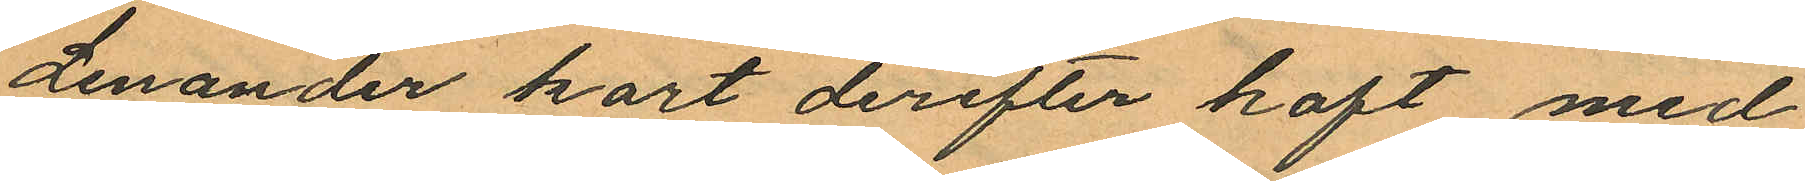Lenander kort derefter haft med
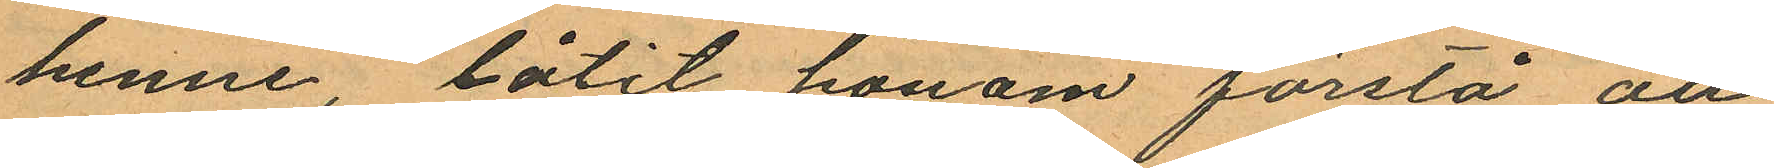henne, låtit honom förstå att
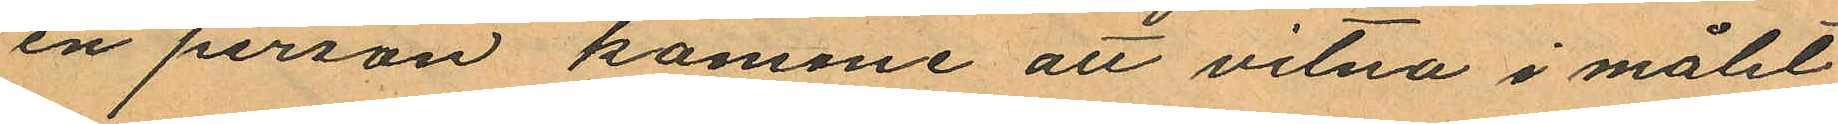en person komme att vitna i målet
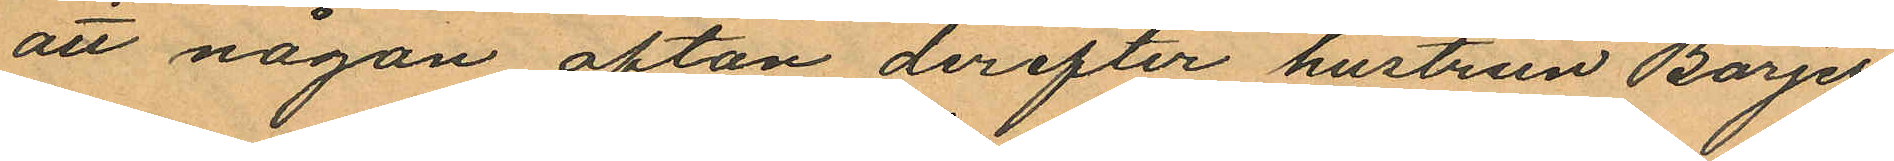att någon afton derefter hustrun Borjes
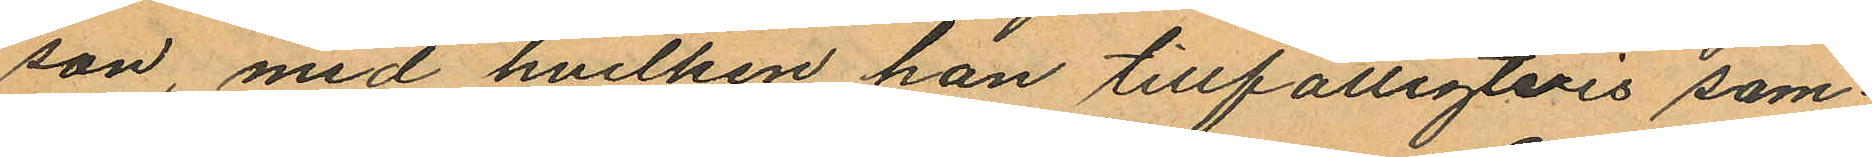son, med hvilken han tillfälligtvis sam¬
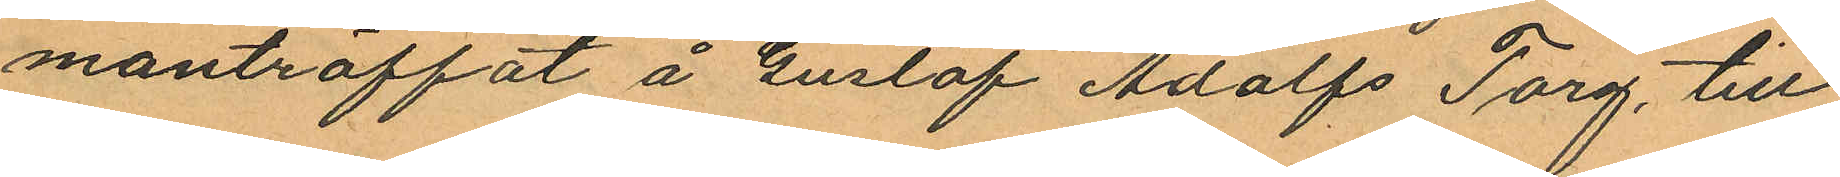manträffat å Gustaf Adolfs Torg, till
